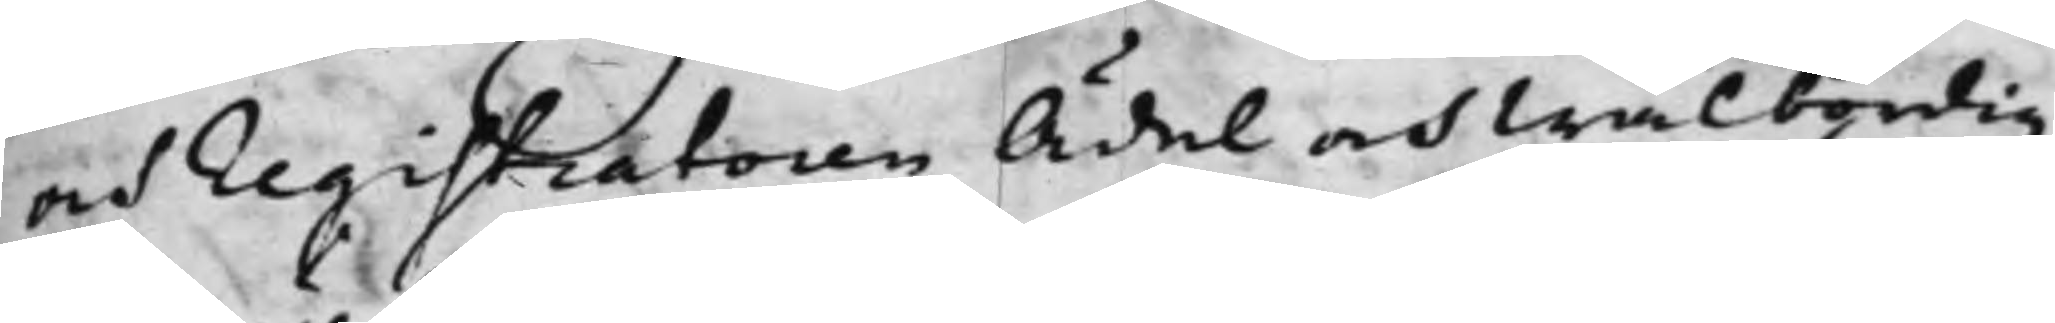och Registratoren Ädel och Wälbördig
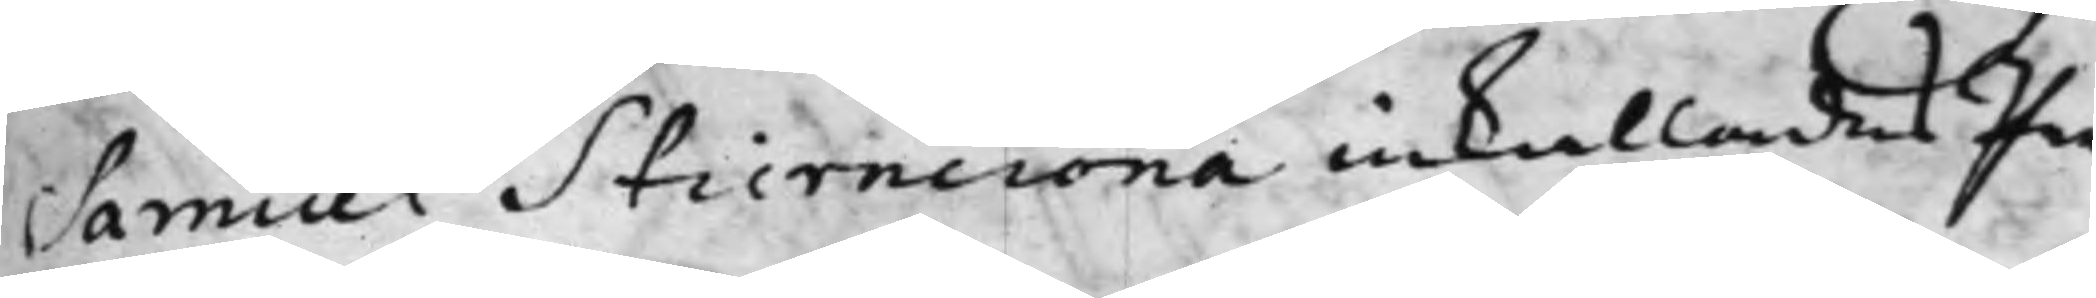Samuel Stierncrona inkallades Par¬
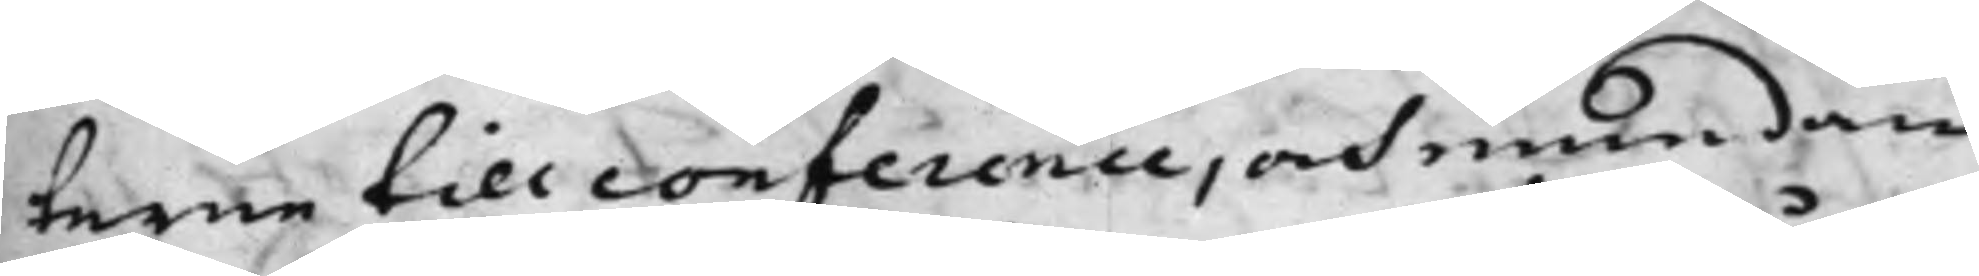terne till conference, och emedan
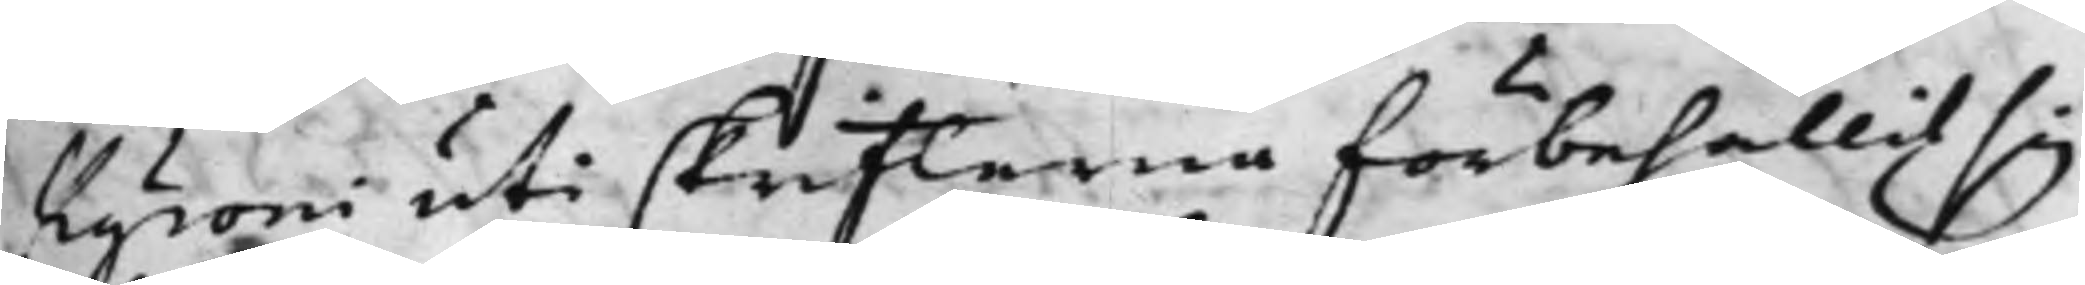Kyroni uti skrifterna förbehållit sig
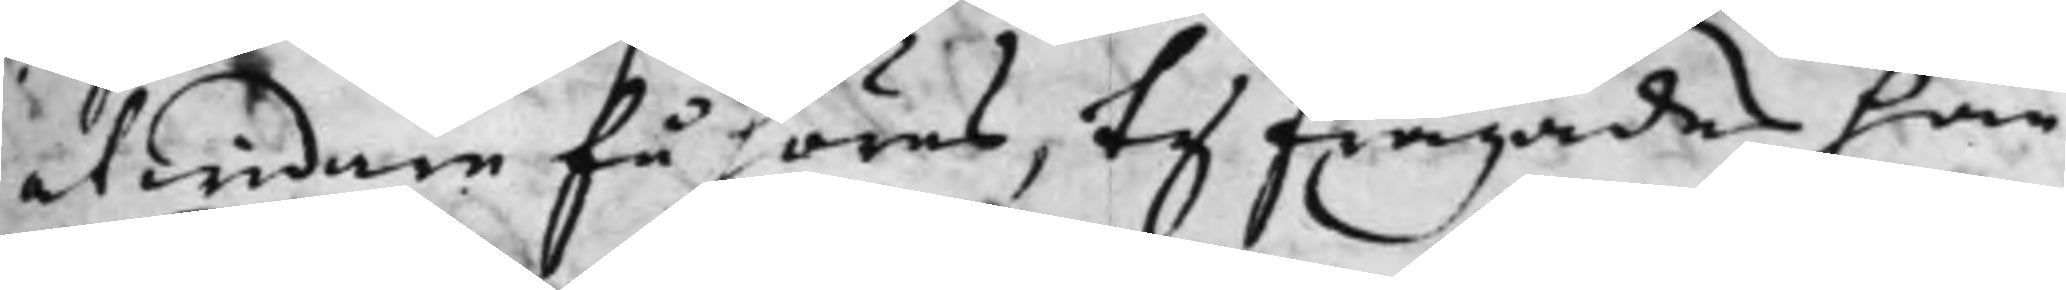at widare få höres, ty frågades han
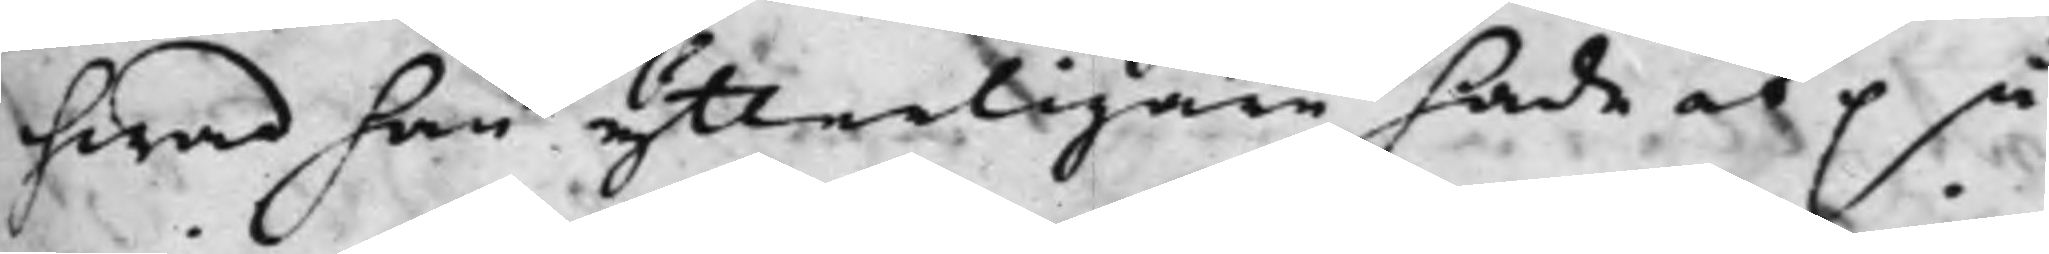hwad han ytterligare hade at på¬
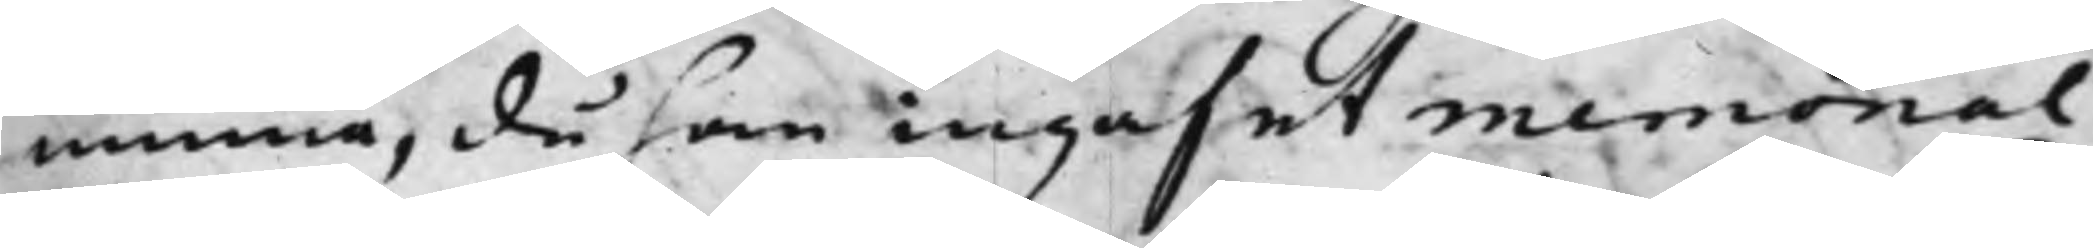minna, då han ingaf et memorial
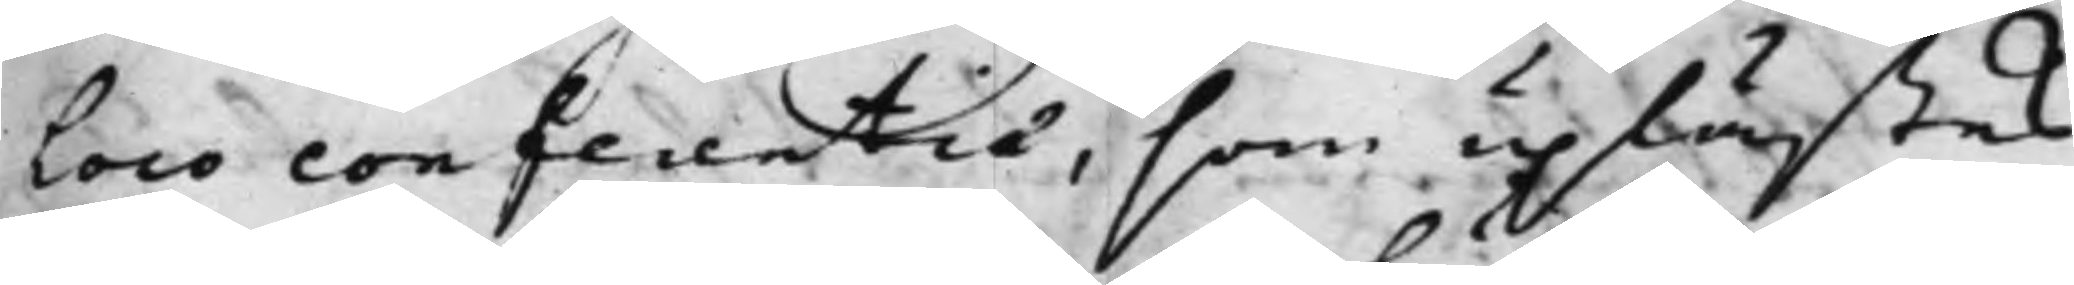loco conferentia, som uplästes.
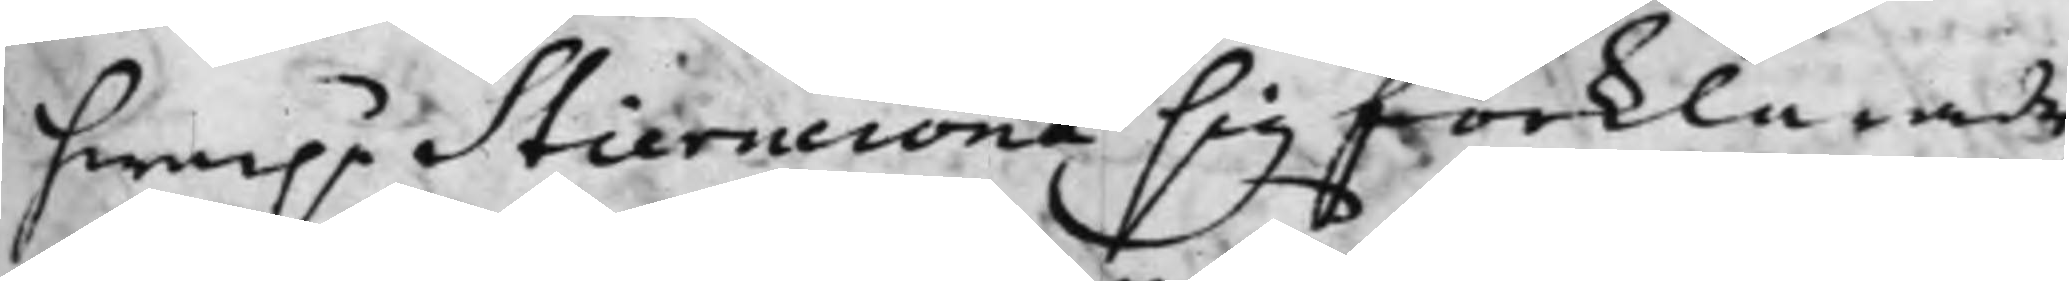hwarpå Stierncrona sig förklarade,
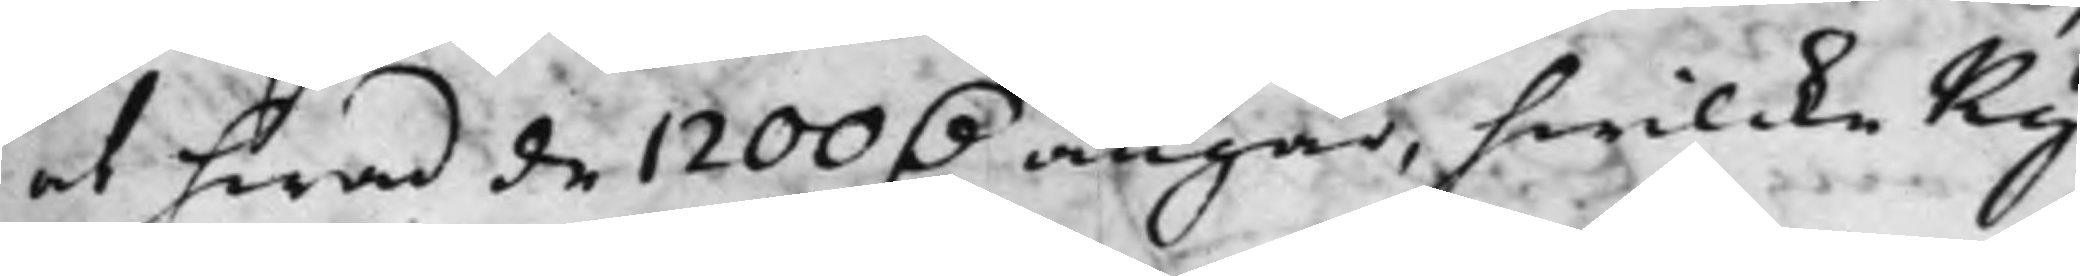at hwad de 1200 D. angår, hwilcke Ky¬
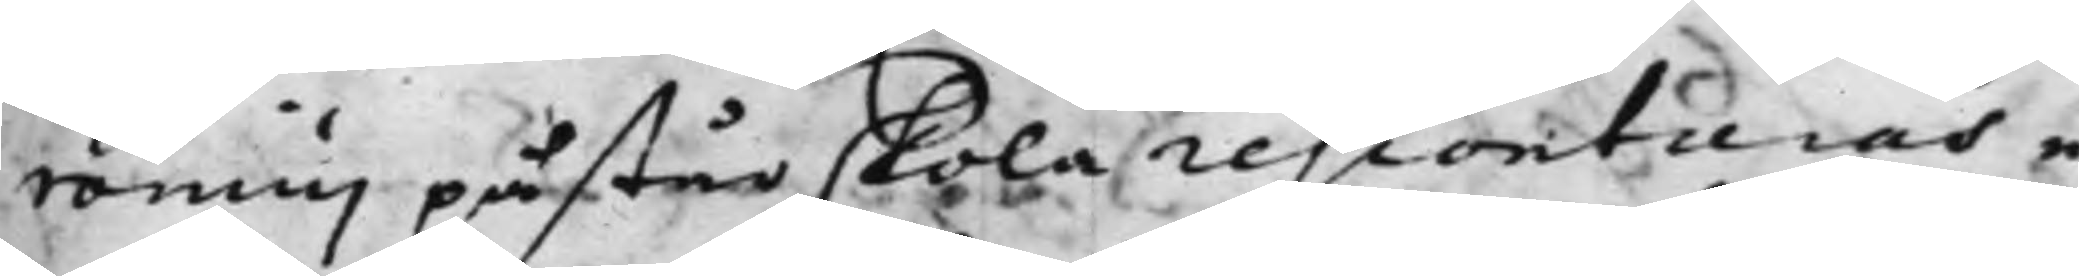ronius påstår skola rescontreras e¬
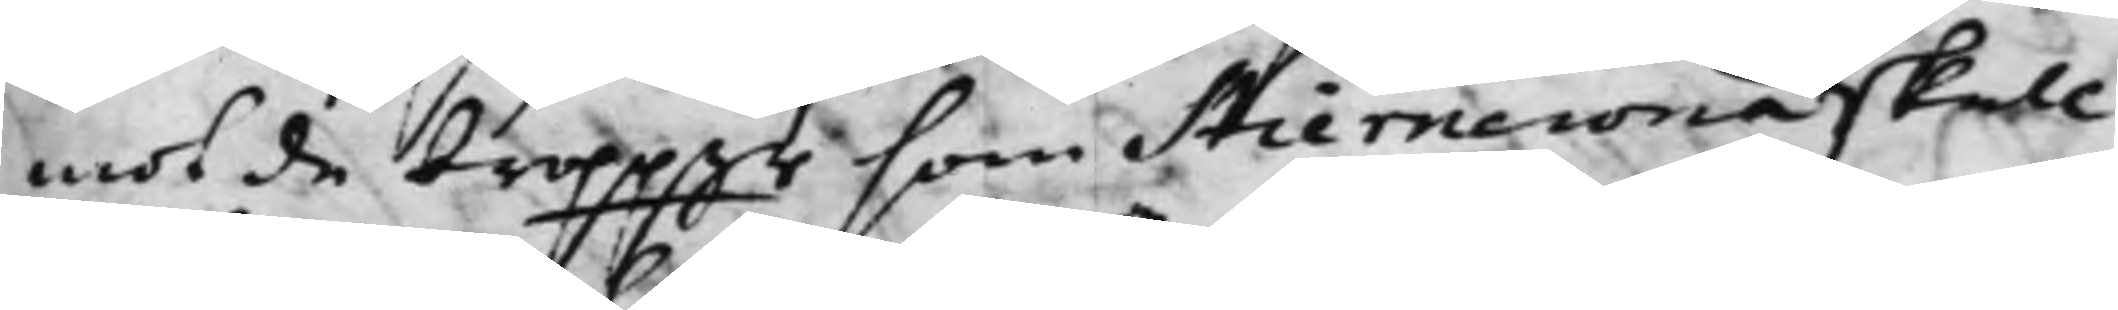mot de broppgr, som Stierncrona skall
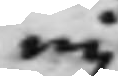eij
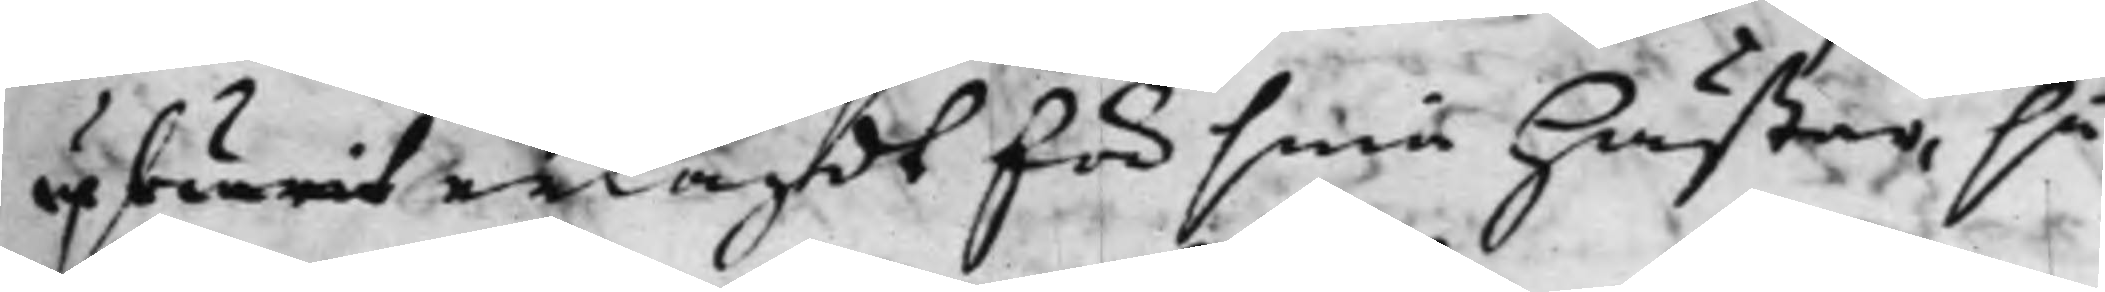upburit erlagdt för sina hästar, så
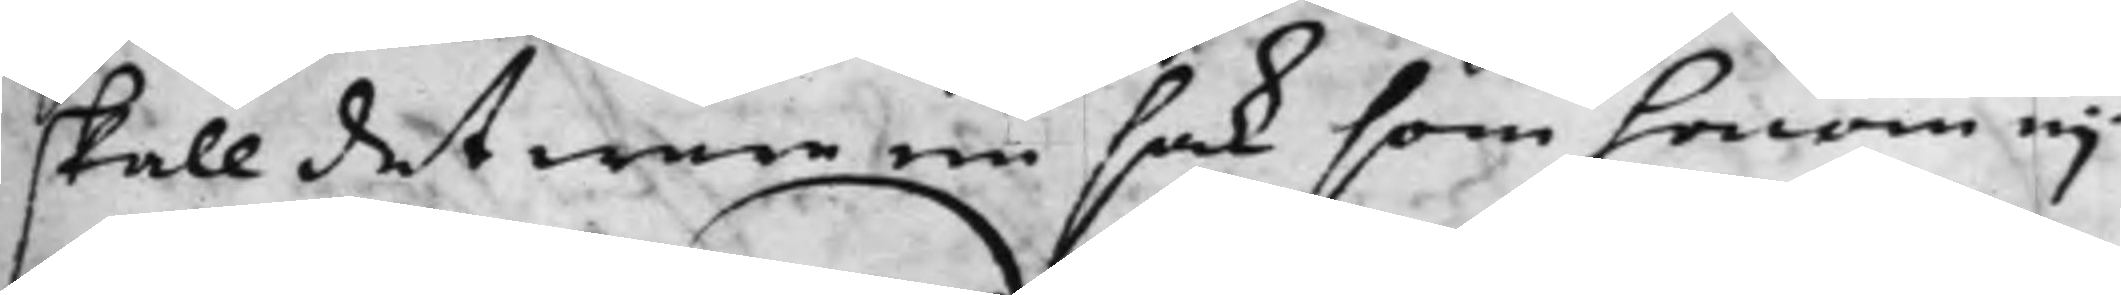skall det wara en sak, som honom eij
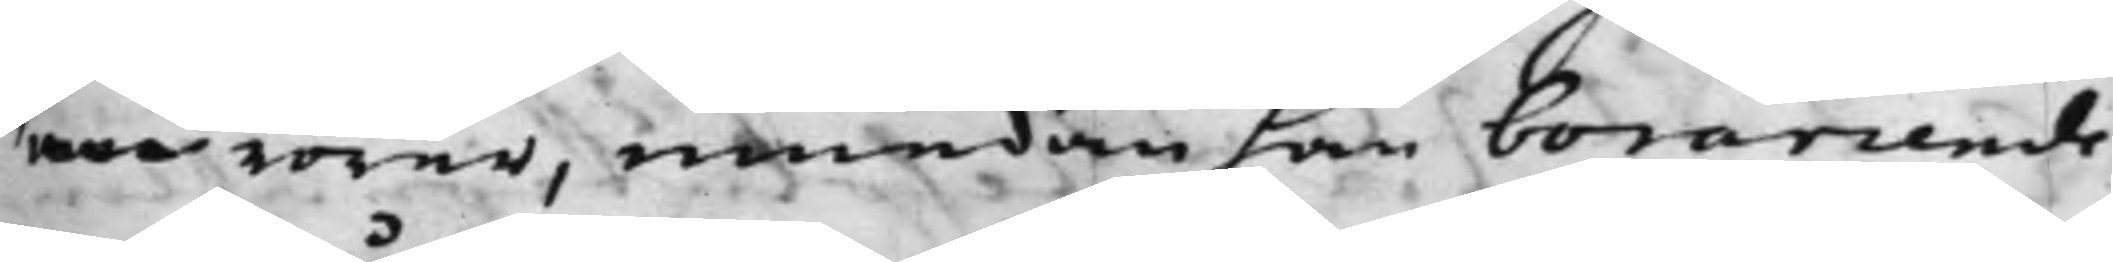mer rörer, emedan han borarrende¬
